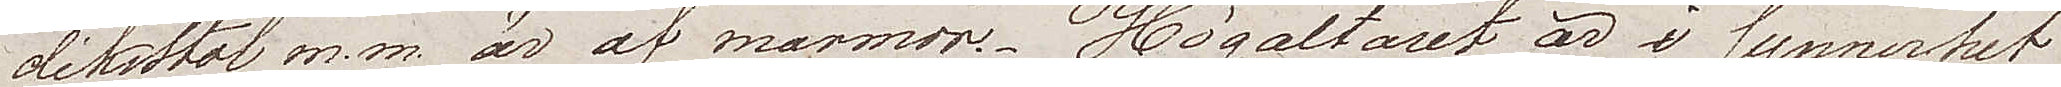dikostol m.m. är af marmor. Högaltaret är i synnerhet
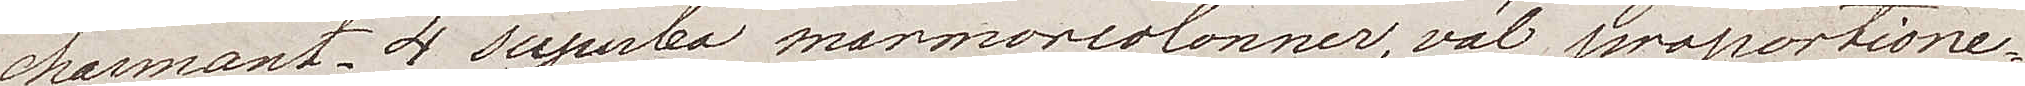charmant. 4 superba marmorkolonner, väl proportione¬
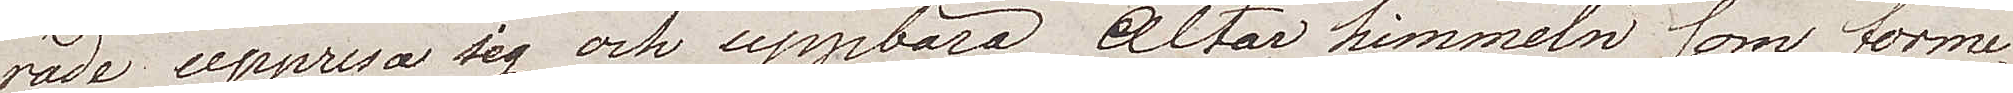rade uppresa sig och uppbära altarhimmeln som forme¬
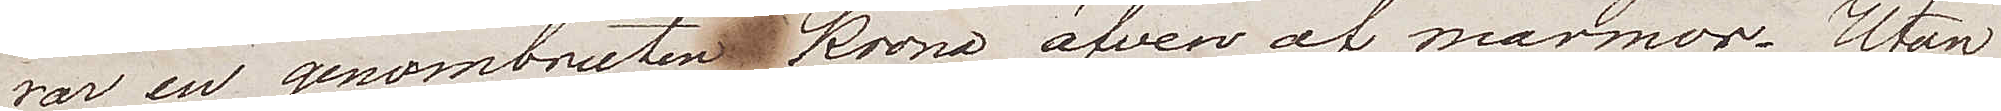rar en genombruten krona äfven av marmor. Utan
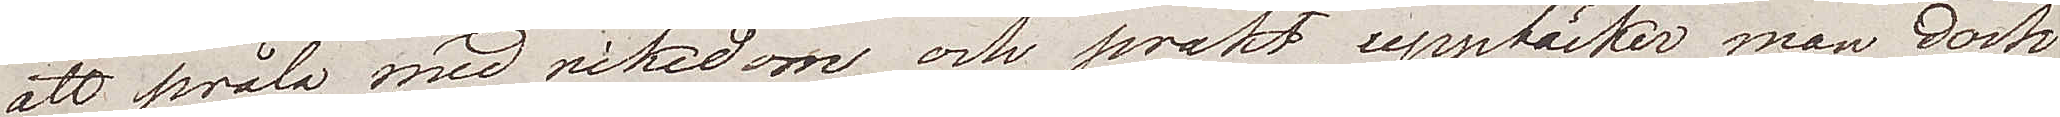att pråla med rikedom och prakt, upptäcker man dock
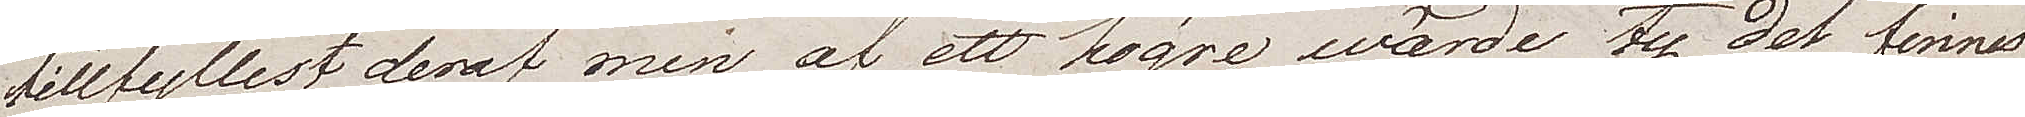tillfyllest deraf men af ett högre wärde ty det finns
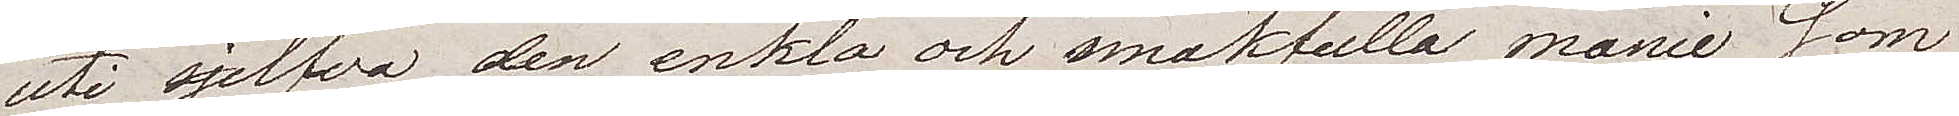uti sjelfva den enkla och smakfulla manie som
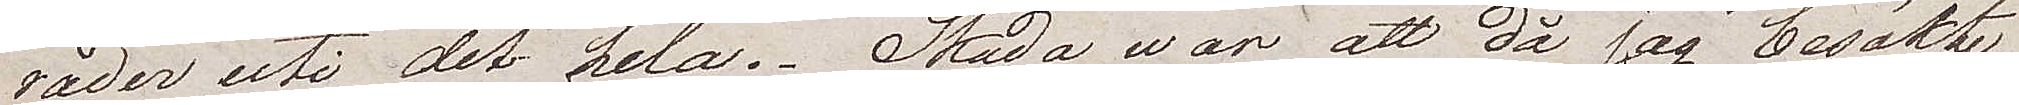råder uti det hela. Skada war att då jag besökte
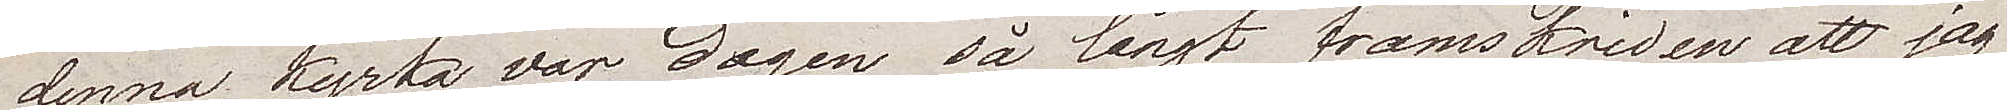denna kyrka var dagen så långt framskriden att jag
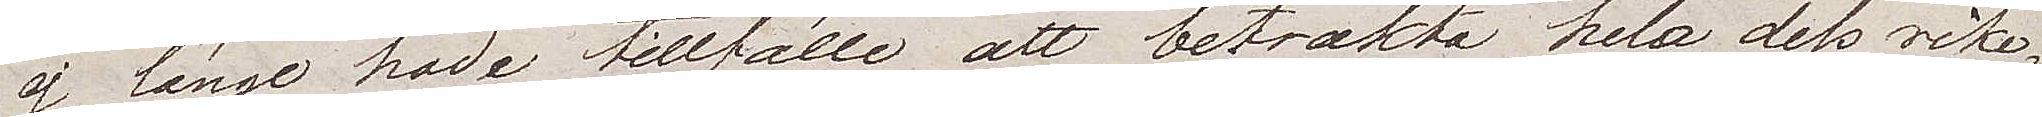ej länge hade tillfälle att betrakta hela dess rike¬
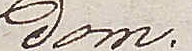dom.
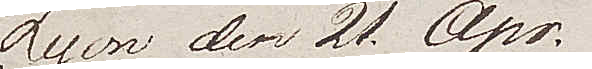Lyon den 21 Apr.
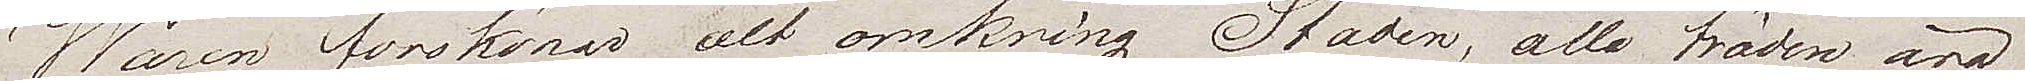Wåren förskönar alt omkring Staden, alla träden äro
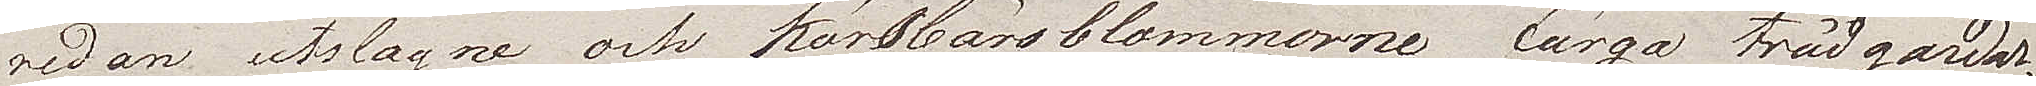redan utslagna och körsbärsblommorna färga trädgårdar¬
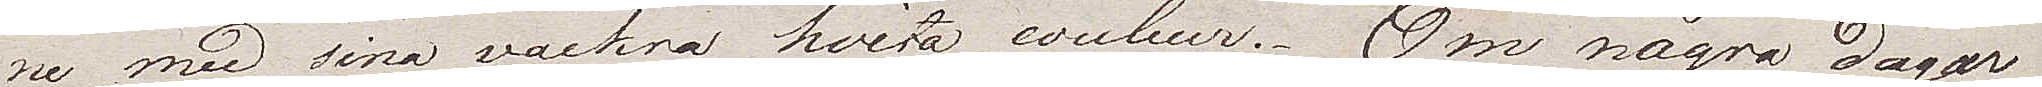ne med sina vackra hvita couleur. Om några dagar
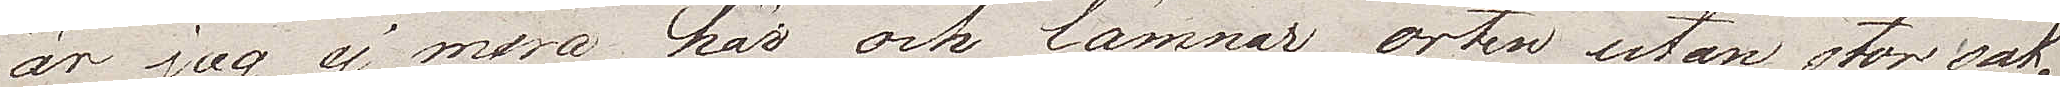är jag ej mera här och lämnar orten utan stor sak¬
